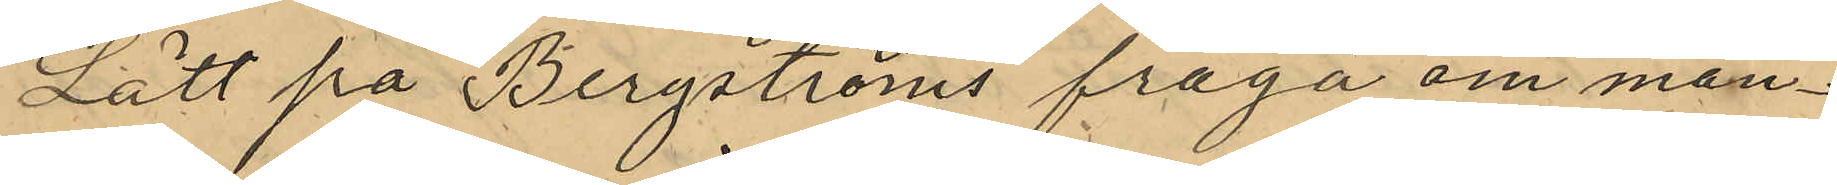Lätt på Bergströms fråga om man¬
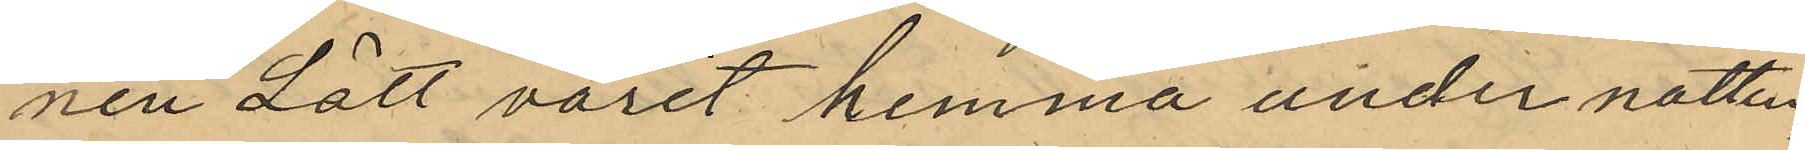nen Lätt varit hemma under natten
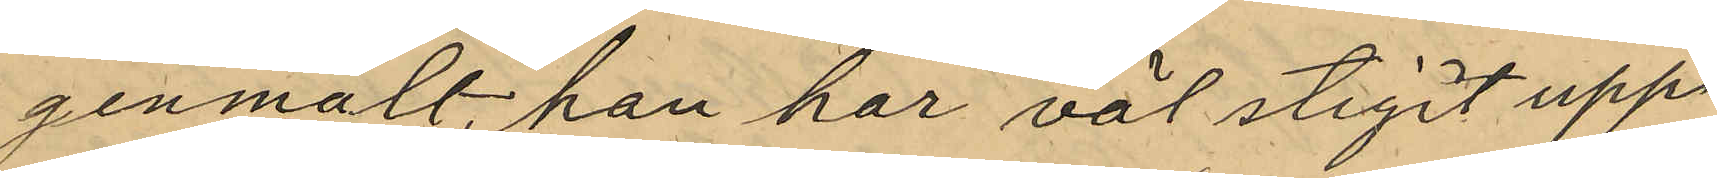genmält, "han har väl stigit upp
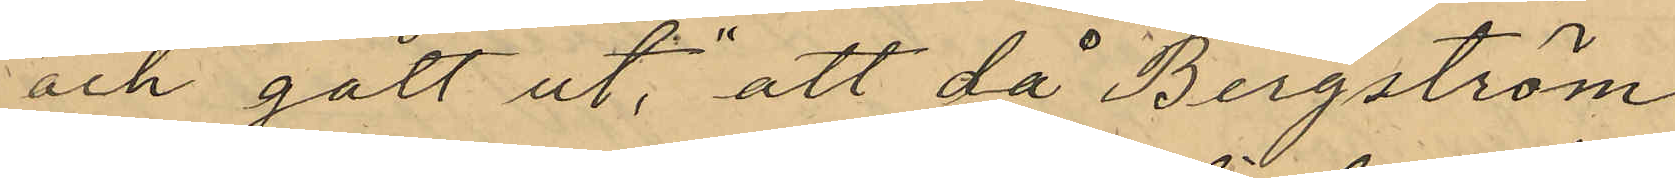och gått ut," att då Bergström
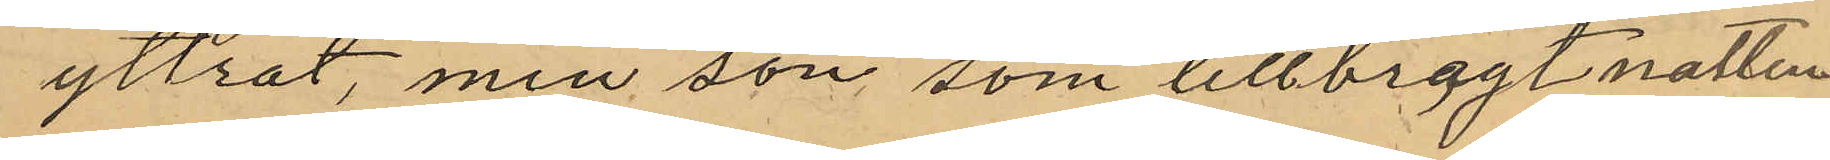yttrat, "min son, som tillbragt natten
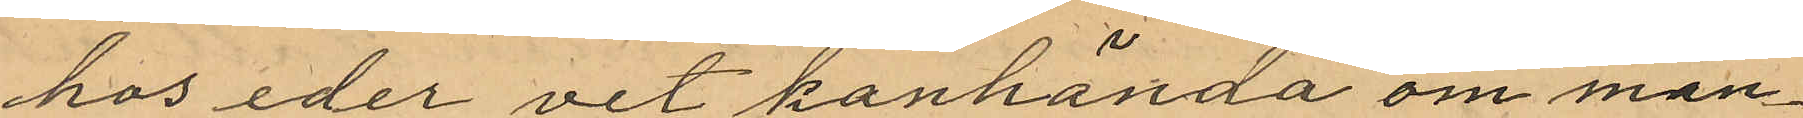hos eder vet kanhända om man¬
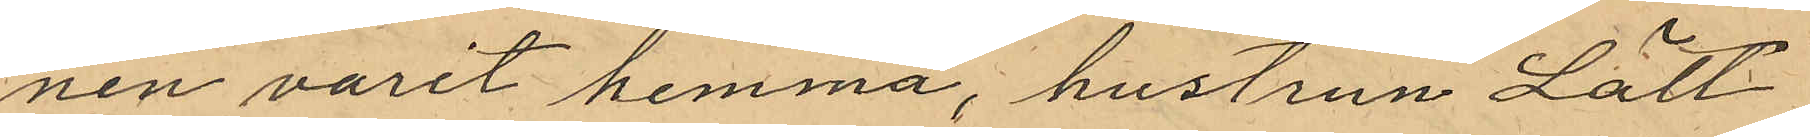nen varit hemma, hustrun Lätt
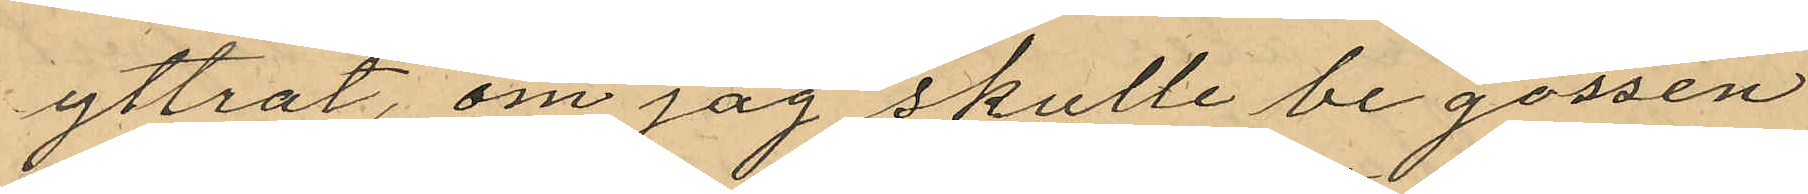yttrat, "om jag skulle be gossen
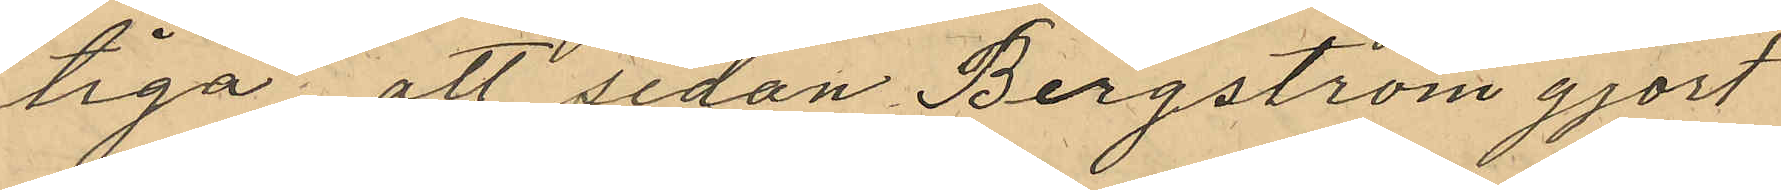tiga"; att sedan Bergström gjort
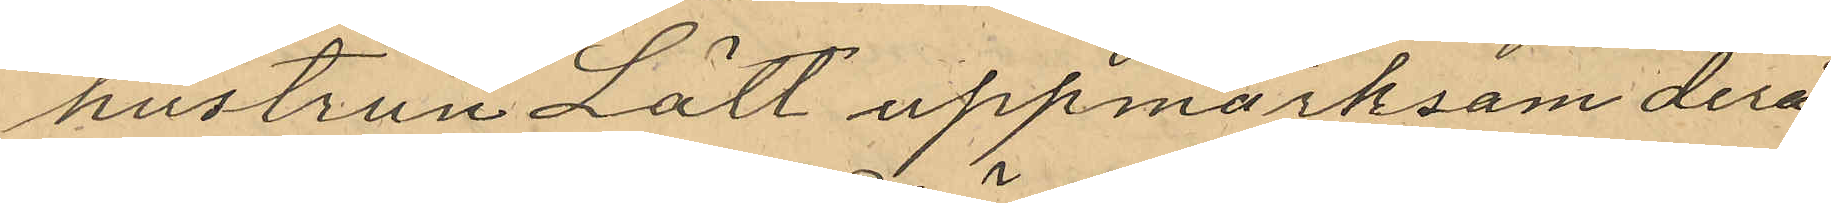hustrun Lätt uppmärksam derå
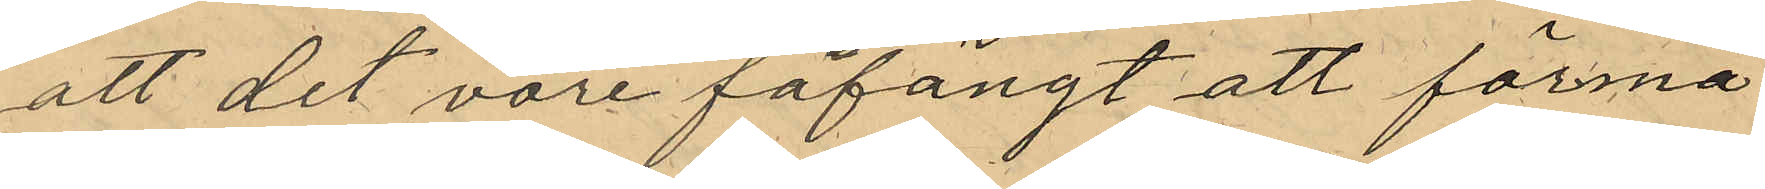att det vore fåfängt att förmå
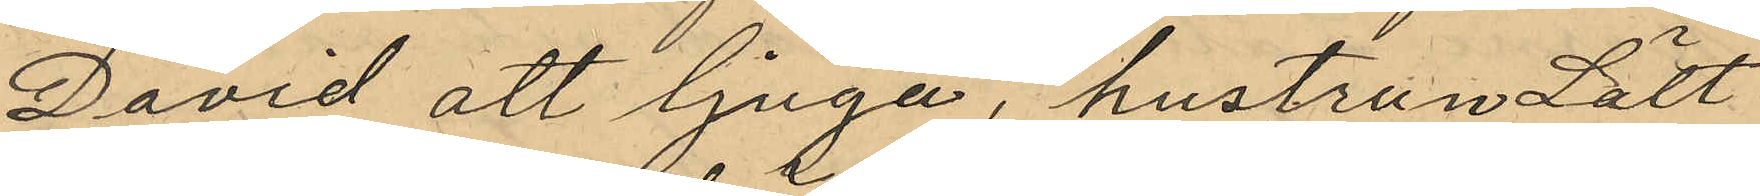David att ljuga, hustrun Lätt
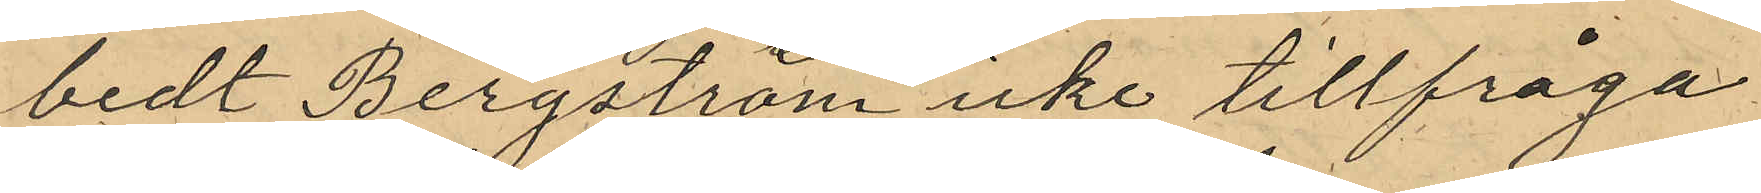bedt Bergström icke tillfråga
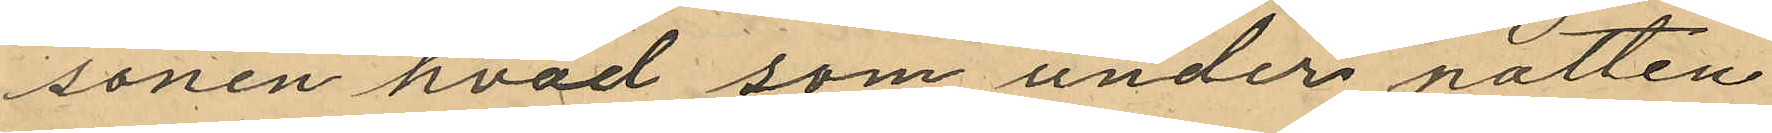sonen hvad som under natten
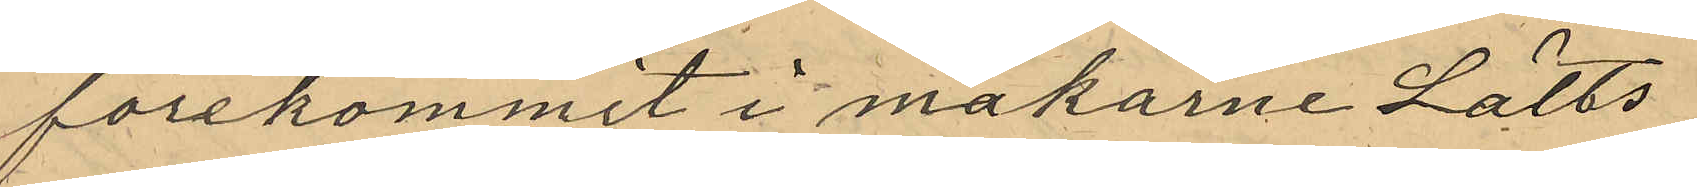förekommit i makarne Lätts
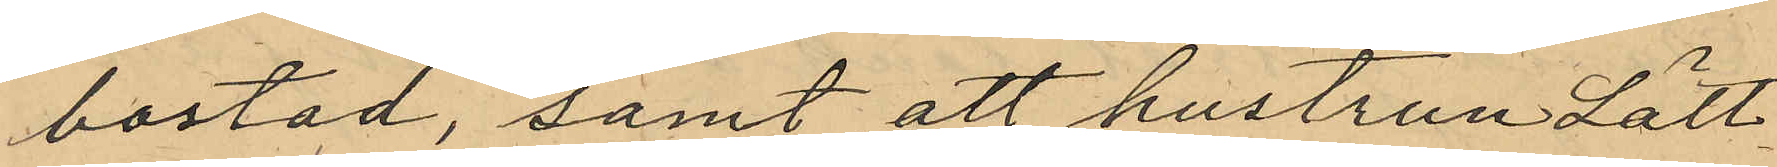bostad, samt att hustrun Lätt
